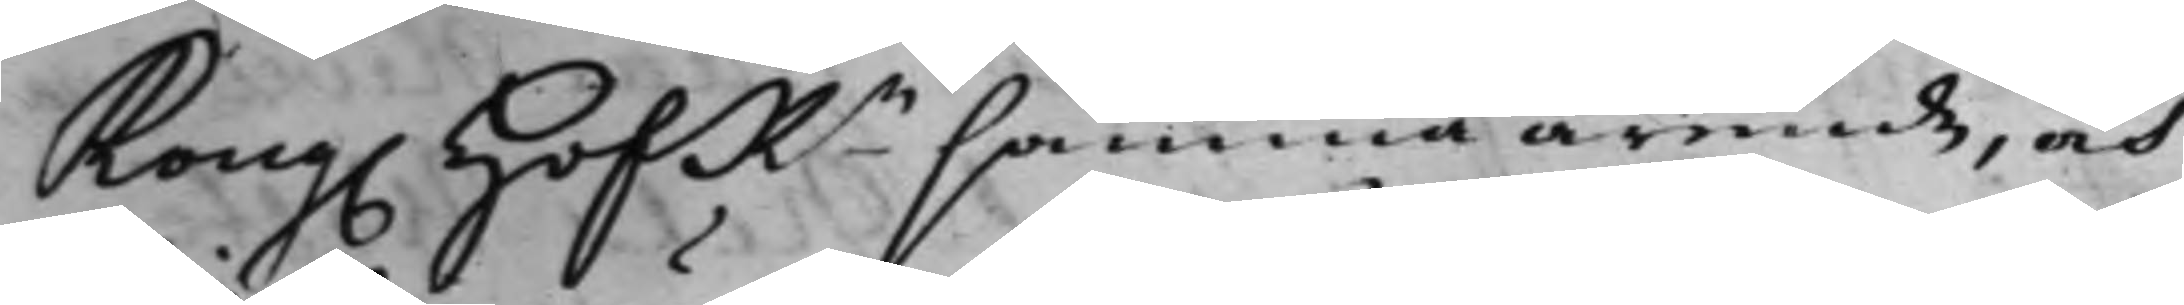Kong. HofRn samma ärende, och
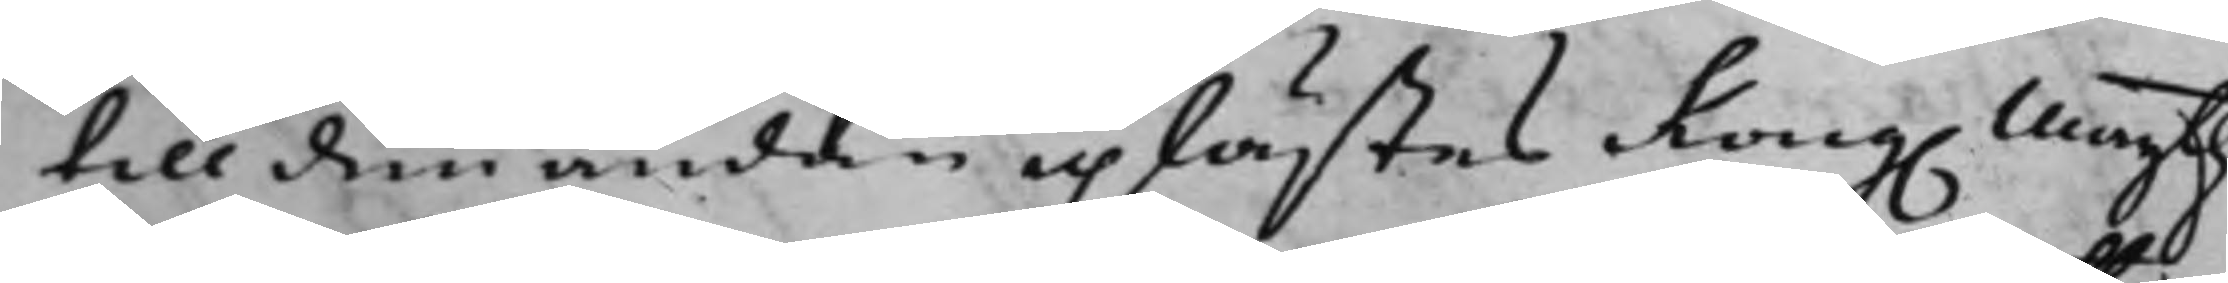till den ändan uplästes Kong. Maijtz
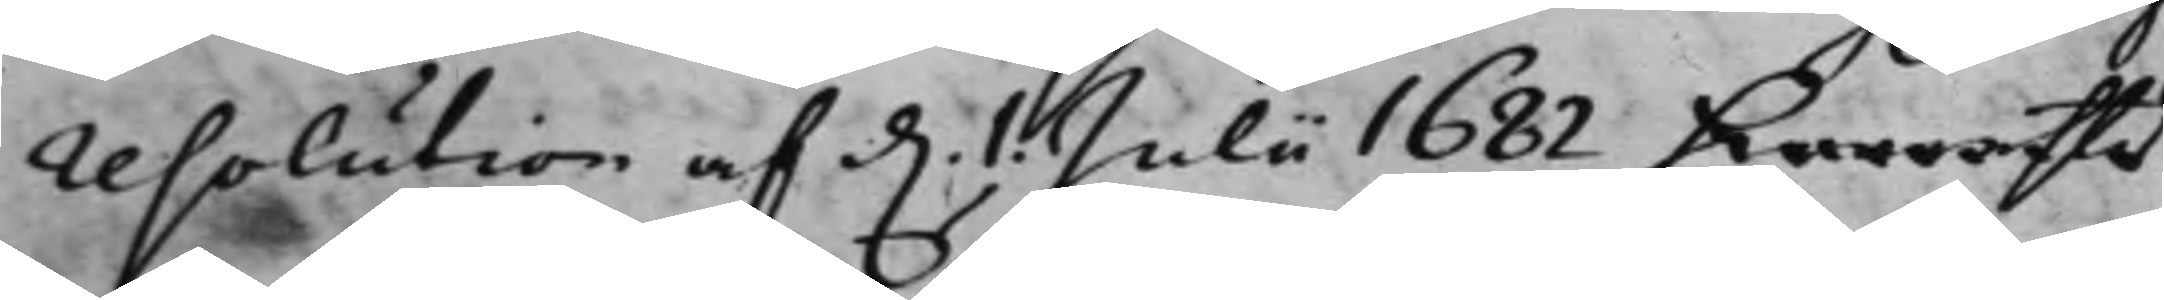resolution af d. 1. Julii 1682, hwarefter
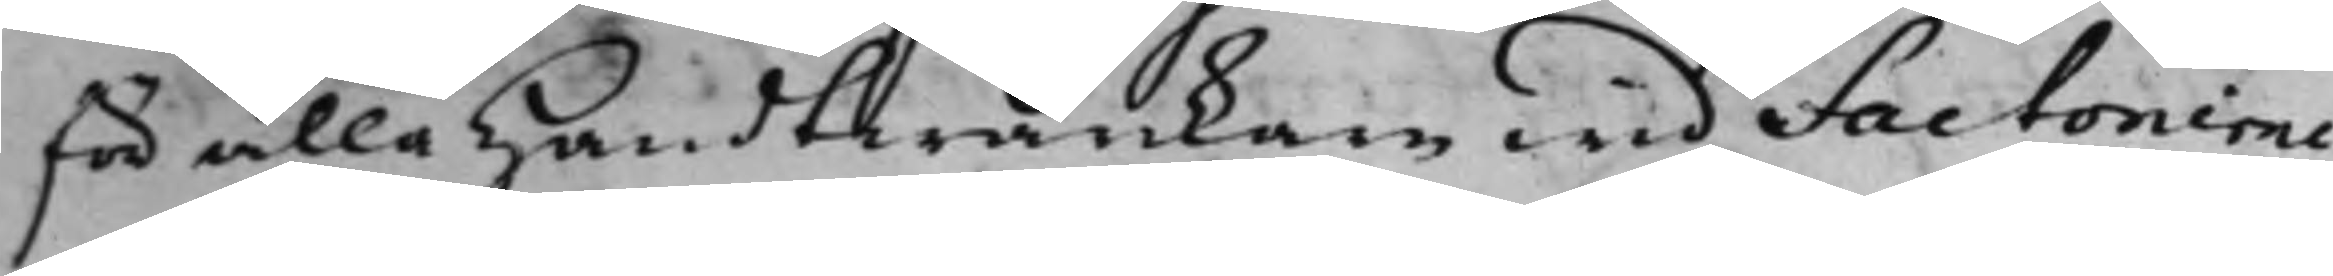för alla handtwärkare wid factorierne
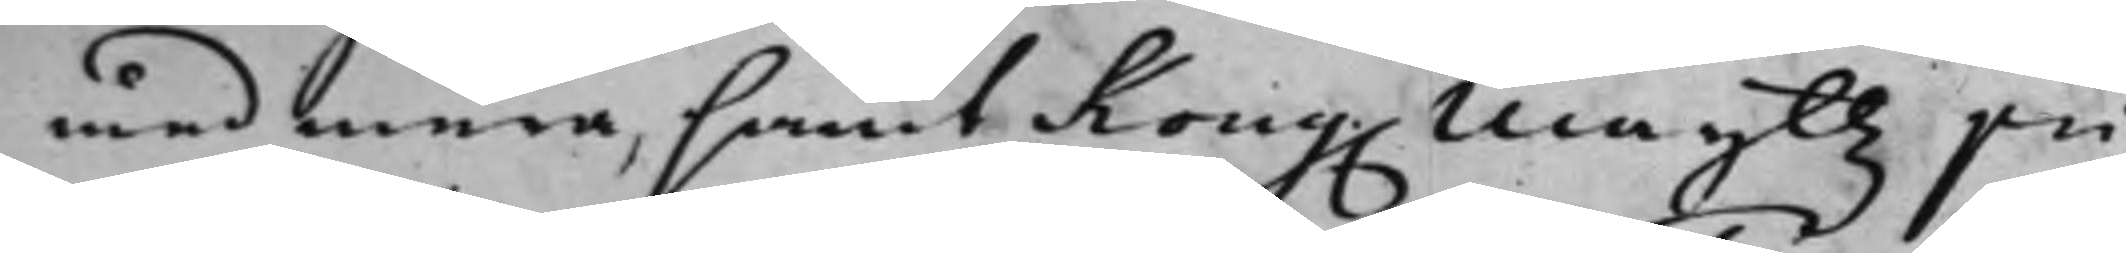med mera, samt Kong. Maijttz pri¬
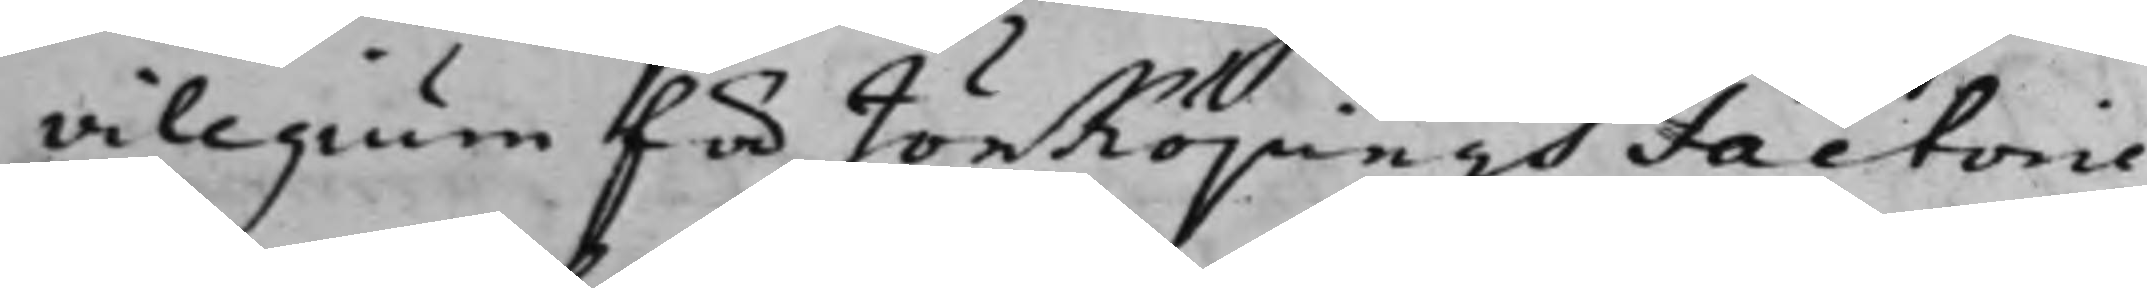vilegium för Jönköpings Factorie
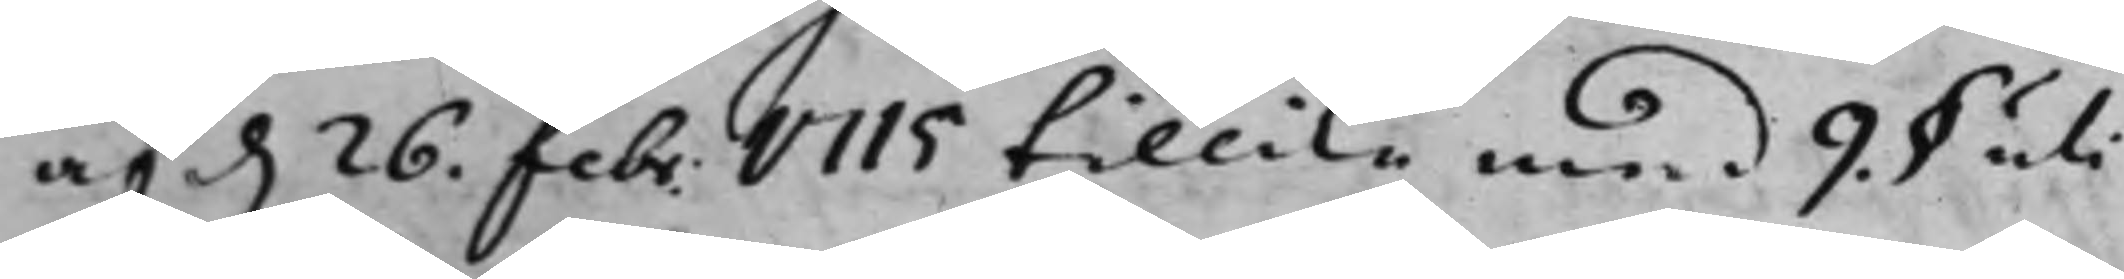af d. 26. Febr. 1715 tillika med 9. § uti
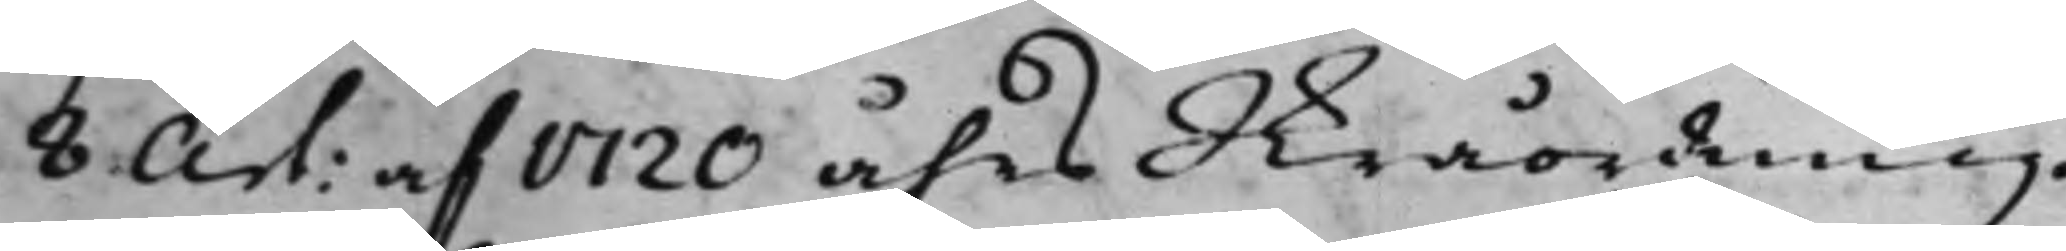8 Art: af 1720 åhrs Skråordning,
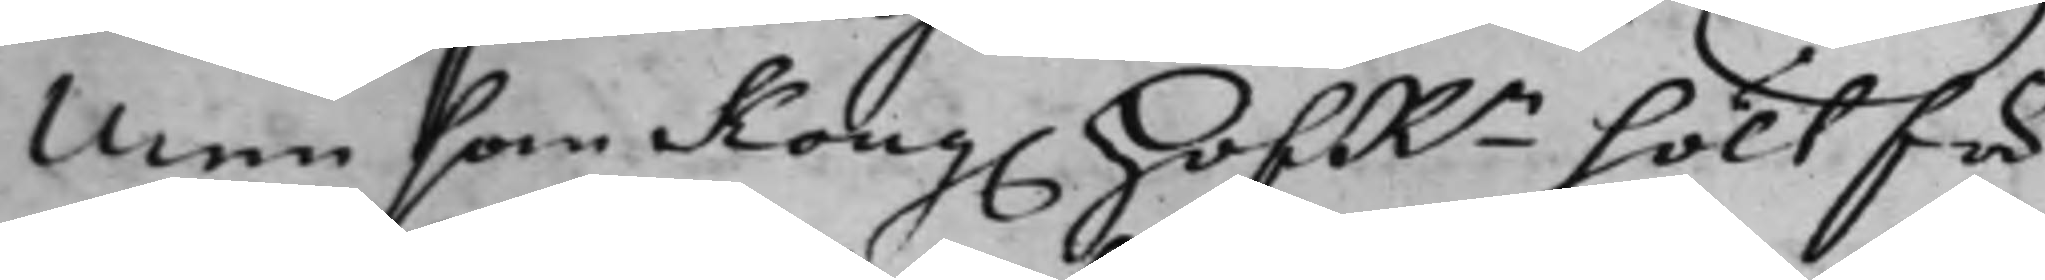Men som Kong. HofRn hölt för
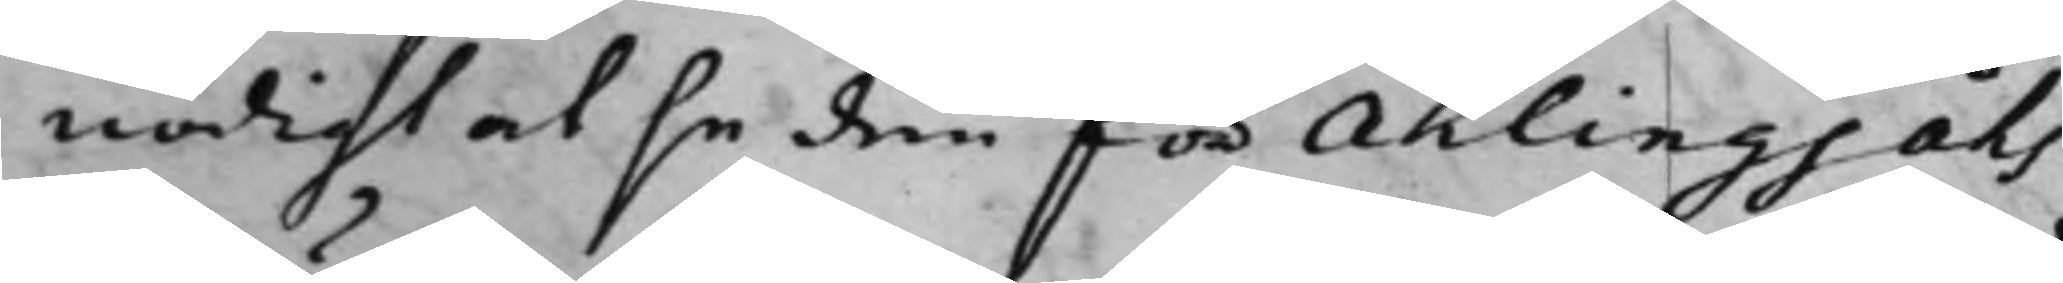nödigt at se den för Ahlingsåhs
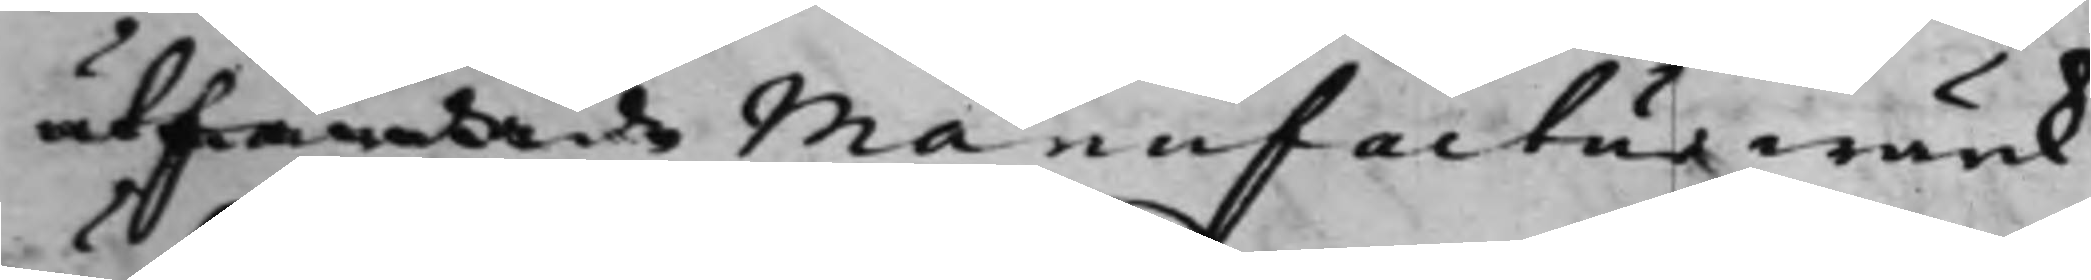utfärdade Manufacturwärk
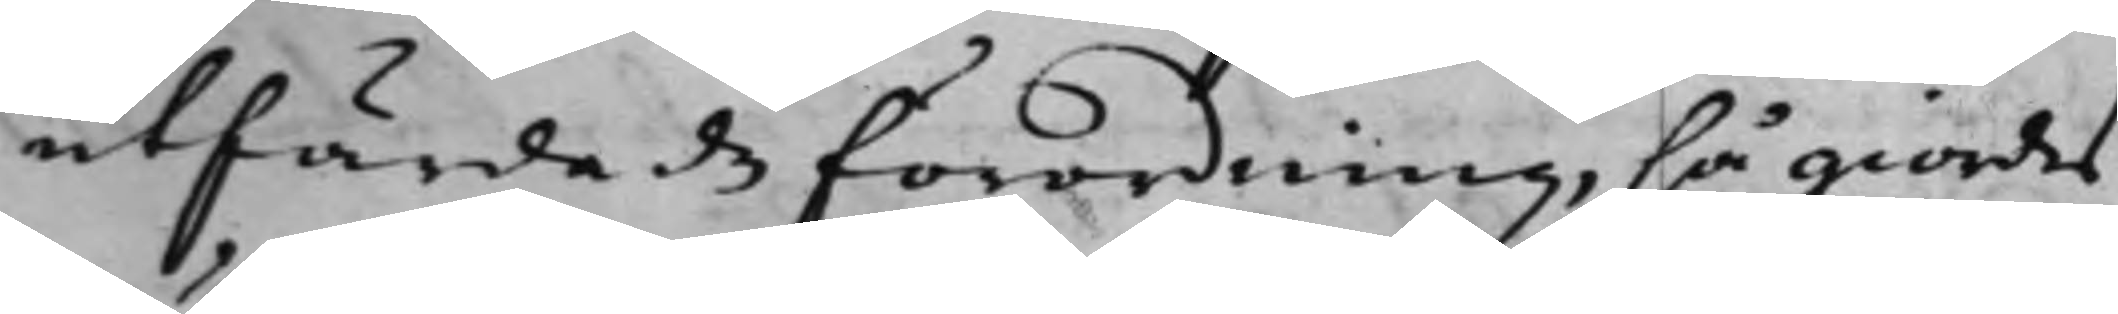utfärdade förordning, så giordes
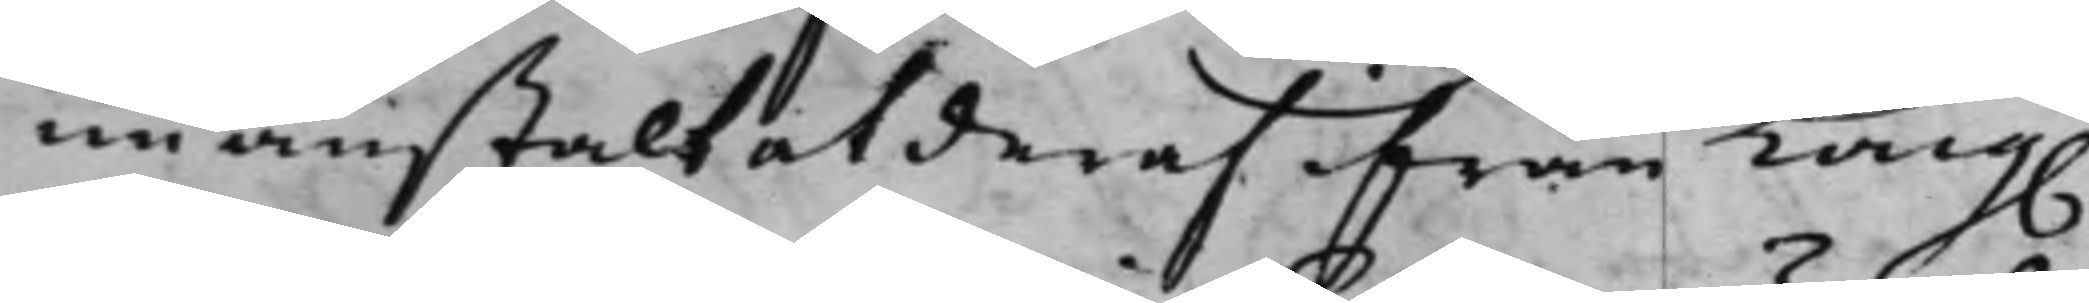nu anstalt at deras ifrån Kong.
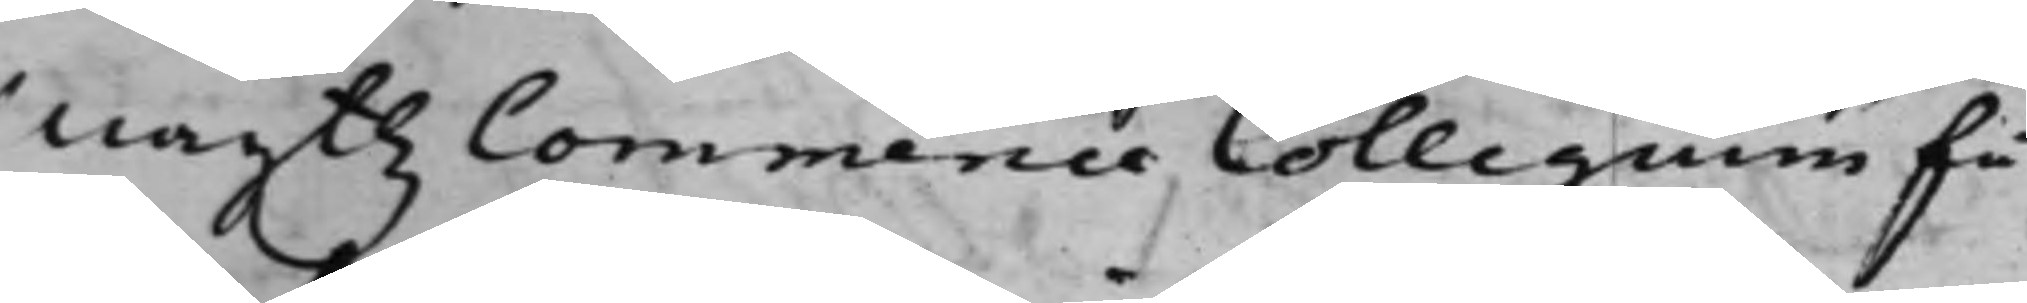Maijttz Commercie Collegium få
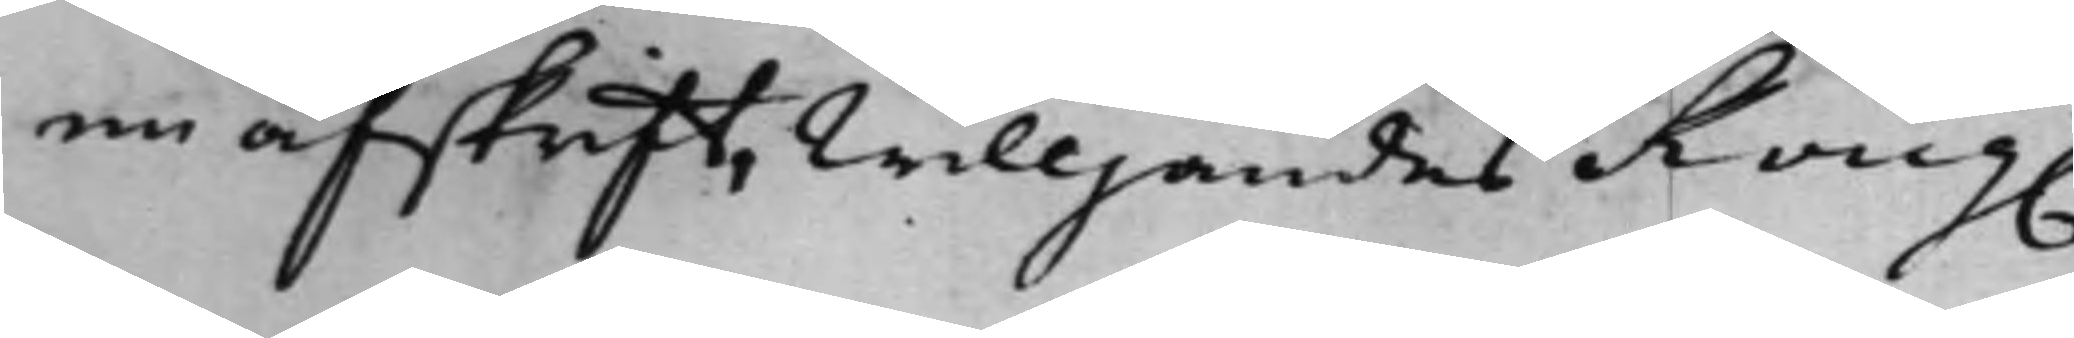en afskrift, willjandes Kong.
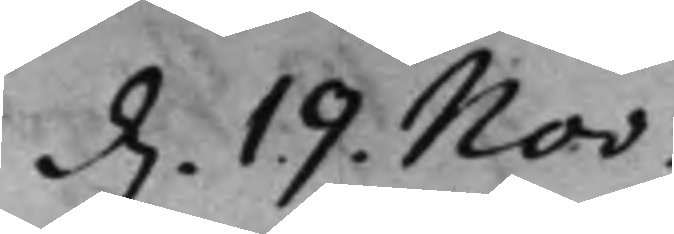d. 19. Nov:
